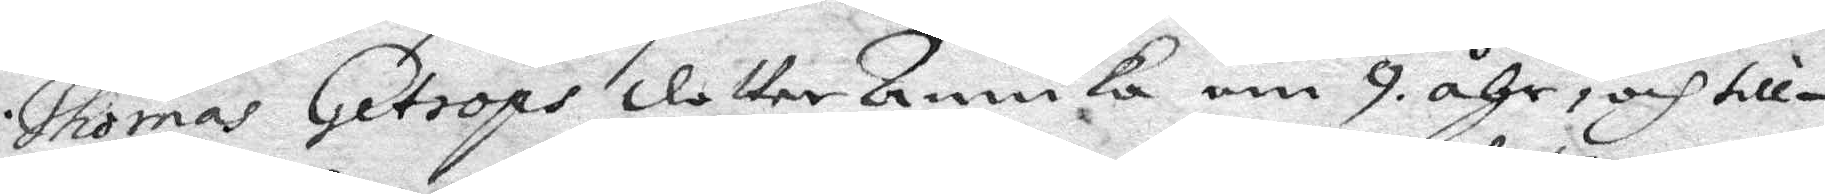Thomas Getrops dotter Annika om 9 åhr, och till¬
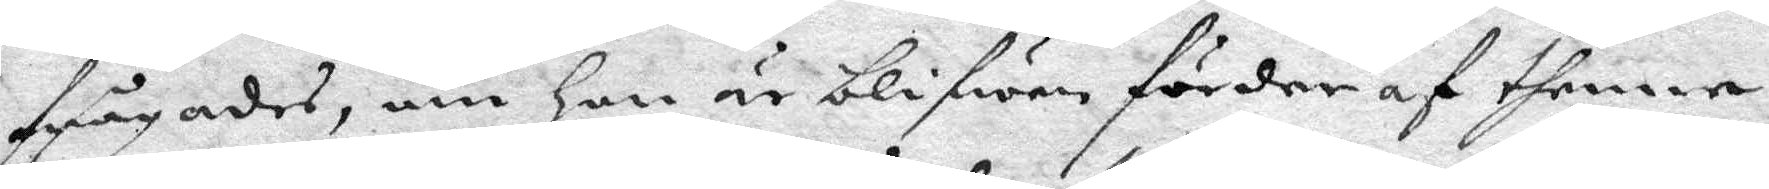frågades, om hon är blifwen förder af thenne
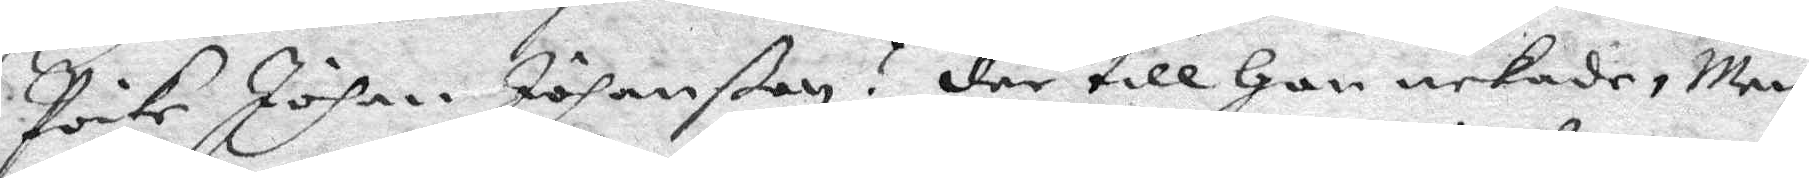Poike Johan Jöhanßon? der till Hon nekade, Men
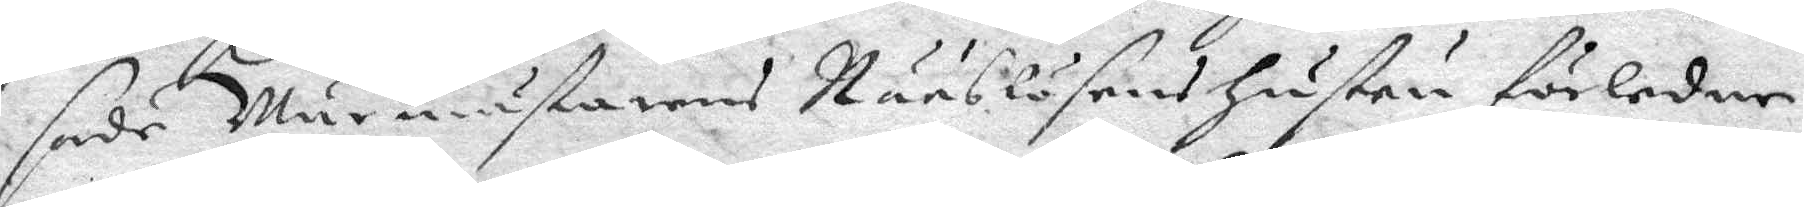sade Murmästarens Nääslösans Hustru förledne
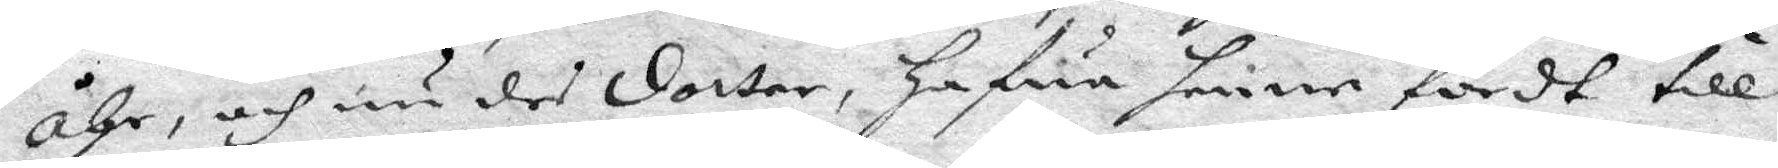åhr, och nu des dotter, Hfwa henne fördt till
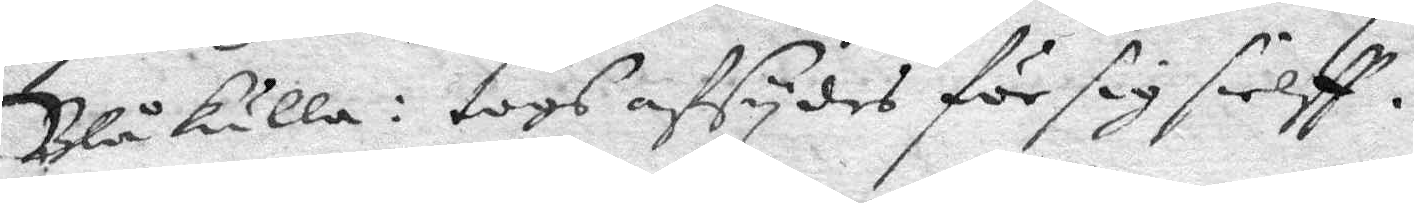Blåkulla: togs afsydes för sig sielff.
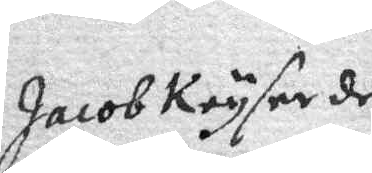Jacob Kryser den
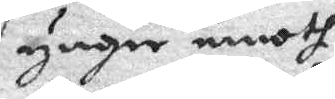yngre emoth
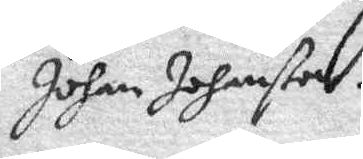Johan Johanßon.
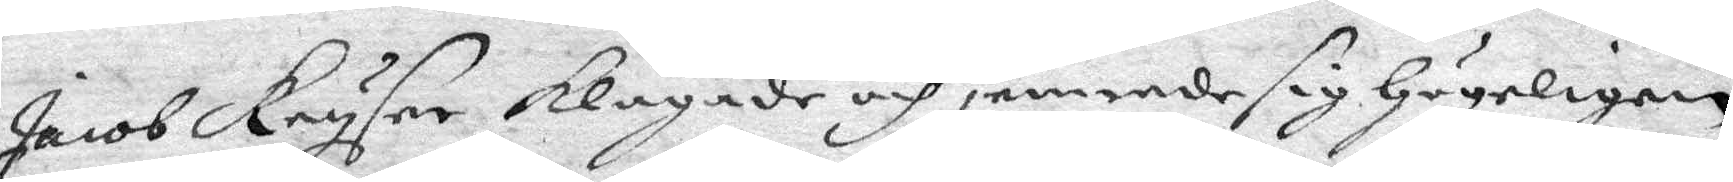Jacob Kryser klagade och jemrede sig Högeligen
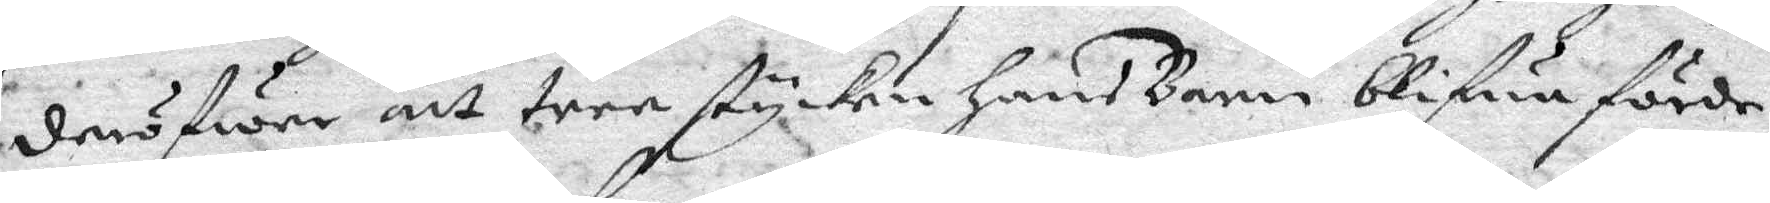deröfwer att tree stycken Hans Barn blifwa förde
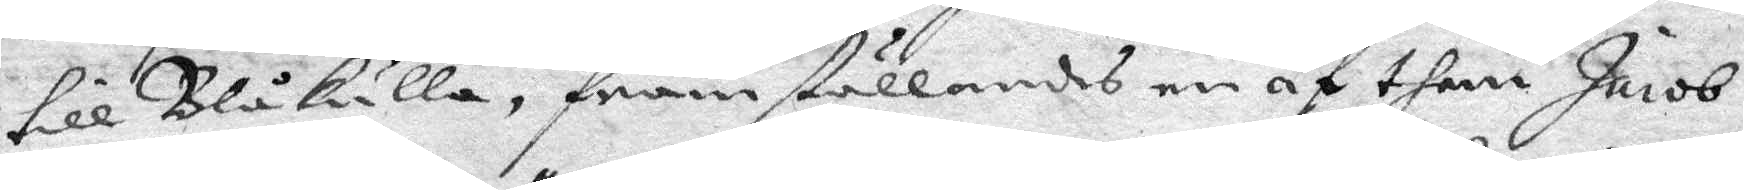till Blåkulla, framställandes en af them Jacob
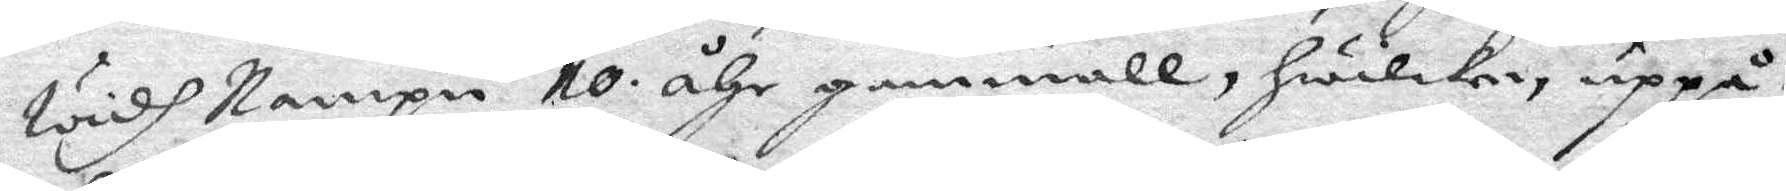widh Nampn 10 åhr gammall, hwilken uppå
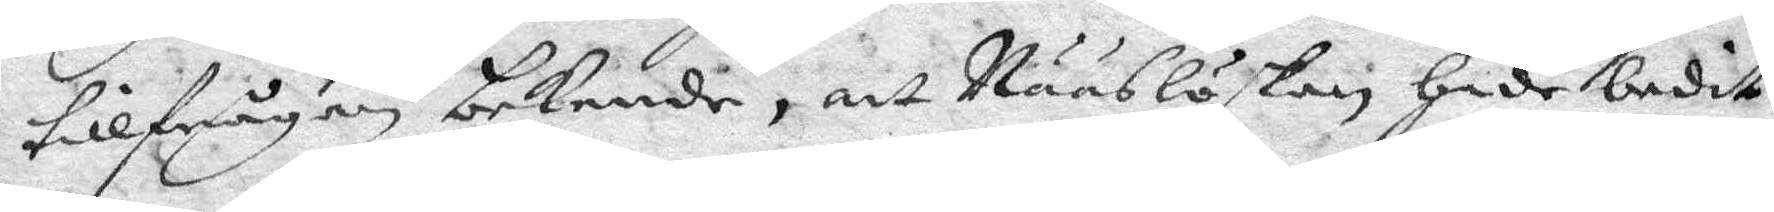tillfrågan bekende, att Nääslöskan hade bedit
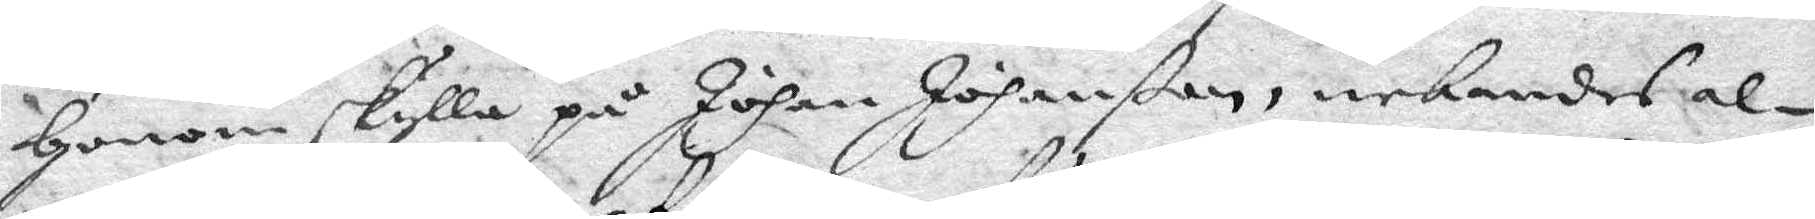Honom skylla på Johan Johanßon, nekandes al¬
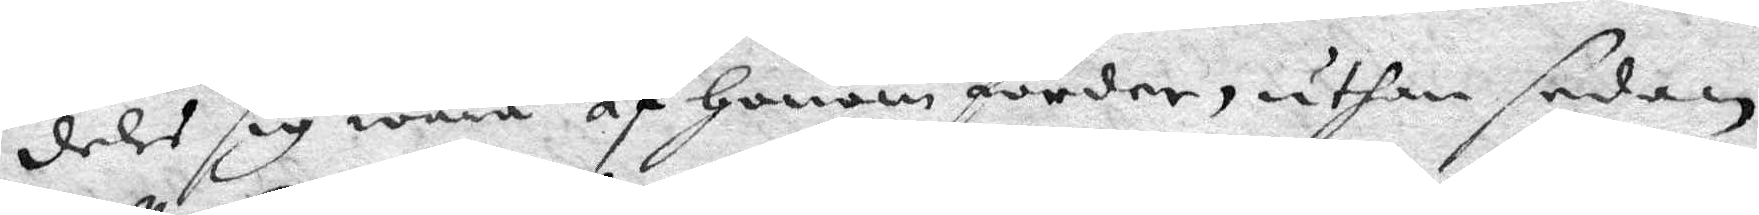deles sig wara af Honom förder, uthan sedan
